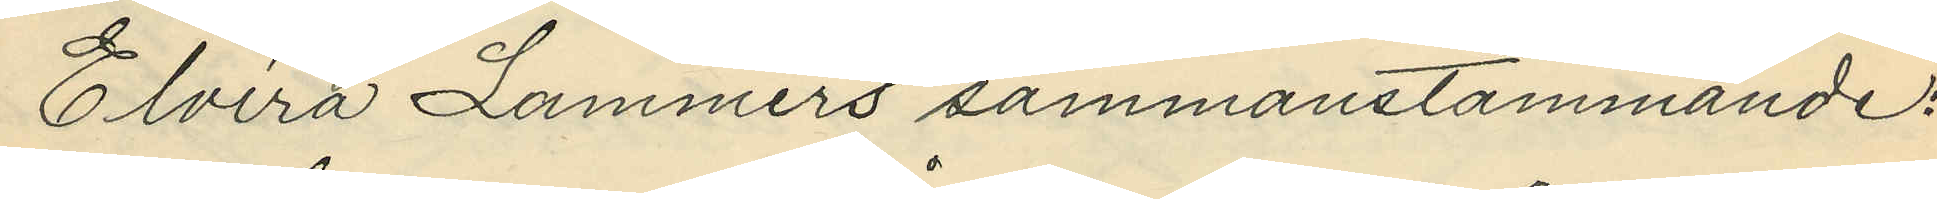Elvira Lammers sammanstämmande:
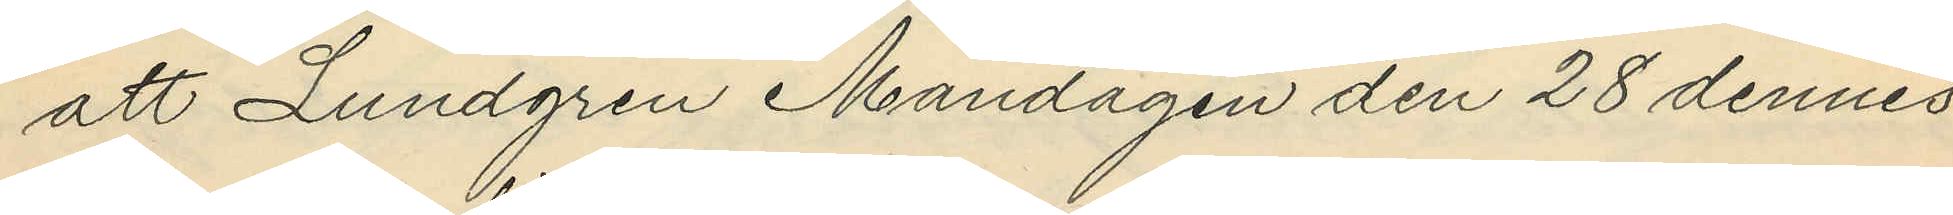att Lundgren Måndagen den 28 dennes
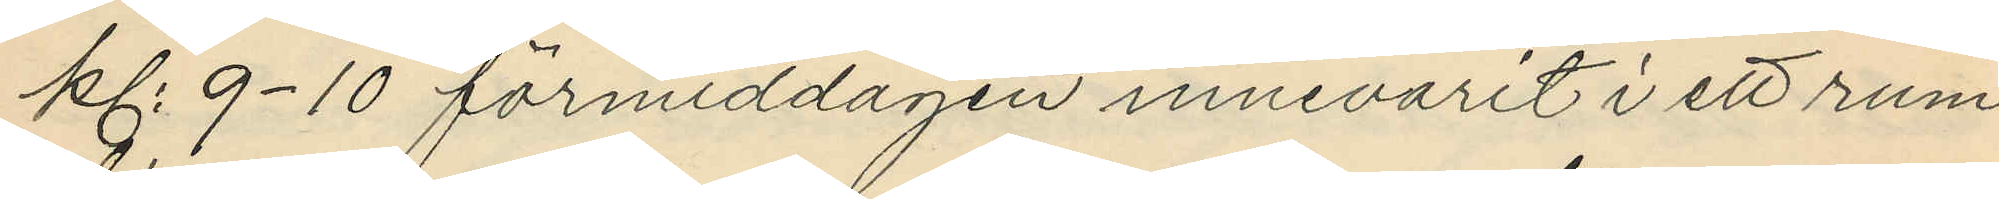kl. 9-10 förmiddagen innevarit i ett rum
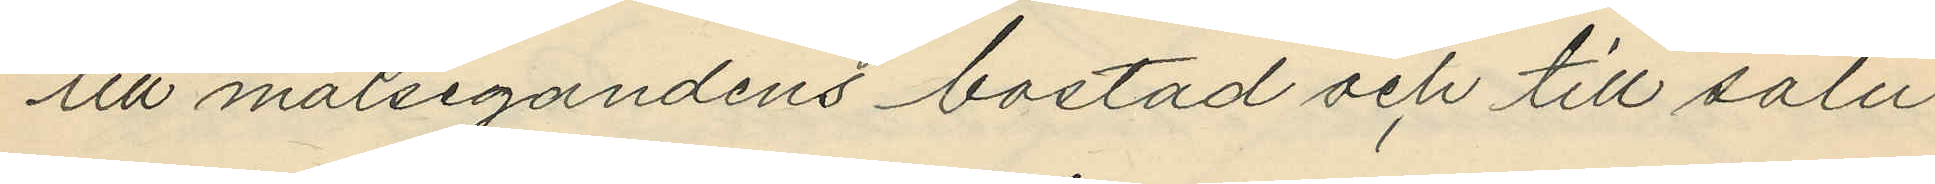till målsegandens bostad och till salu
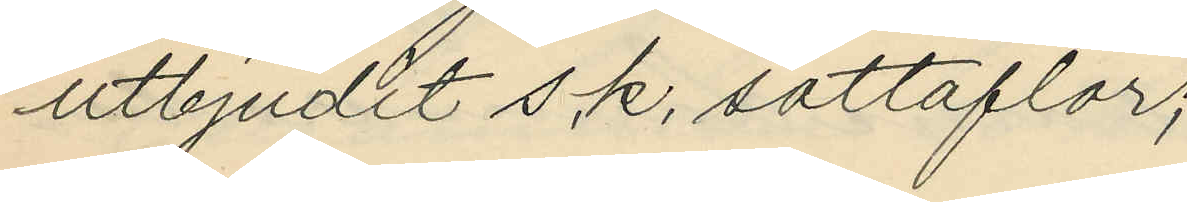utbjudit s.k. sottaflor;
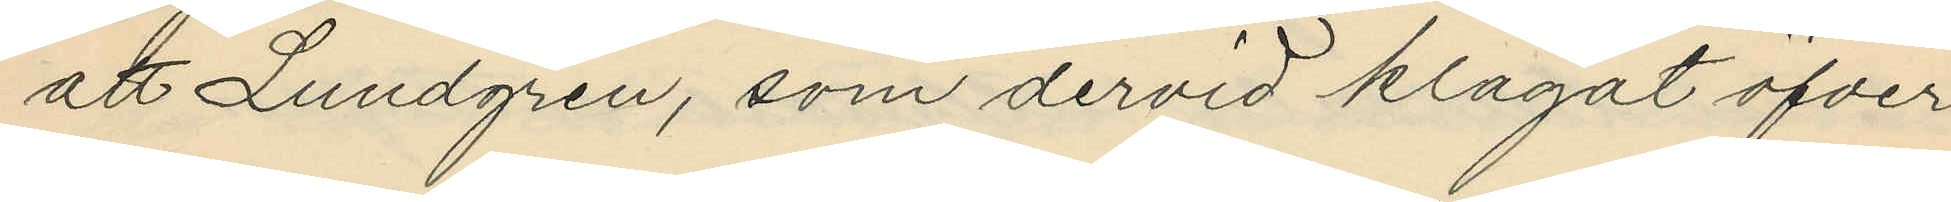att Lundgren, som dervid klagat öfver
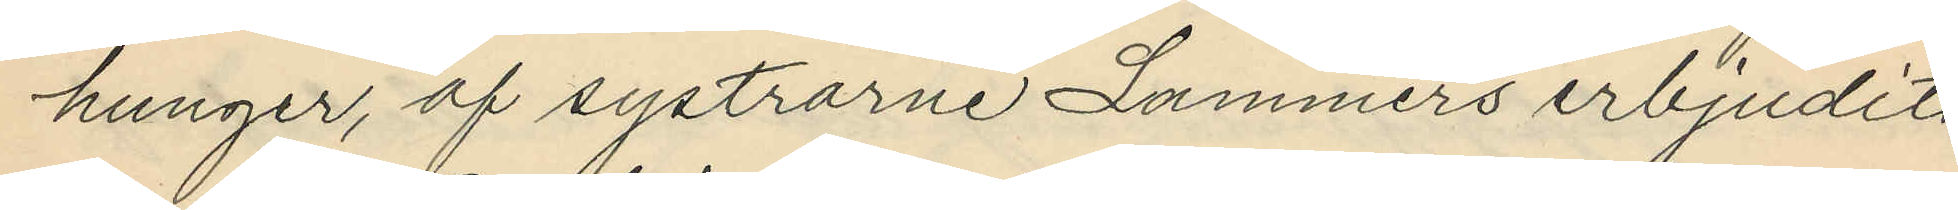hunger, af systrarne Lammers erbjudits
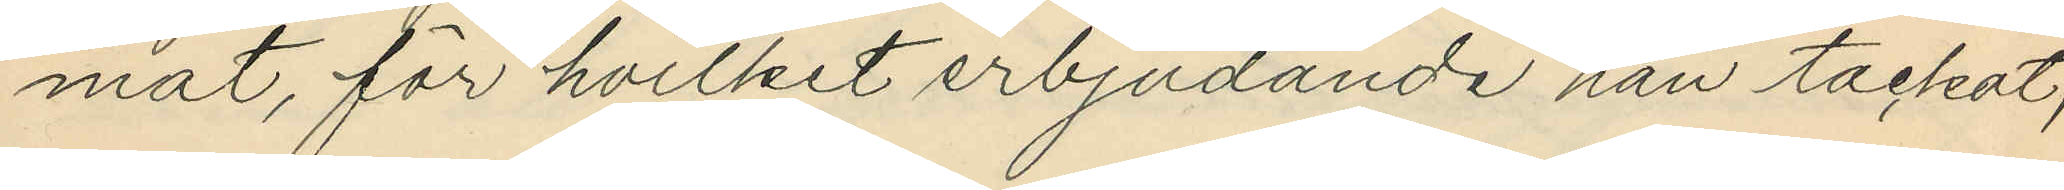mat, för hvilket erbjudande han tackat;
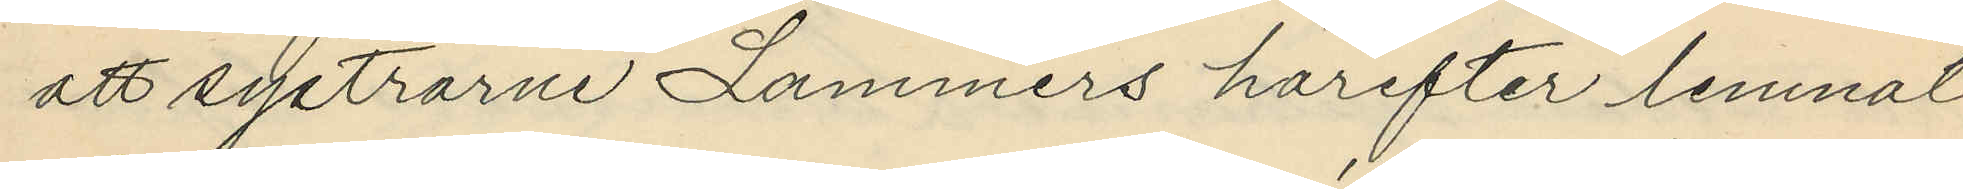att systrarne Lammers härefter lemnat
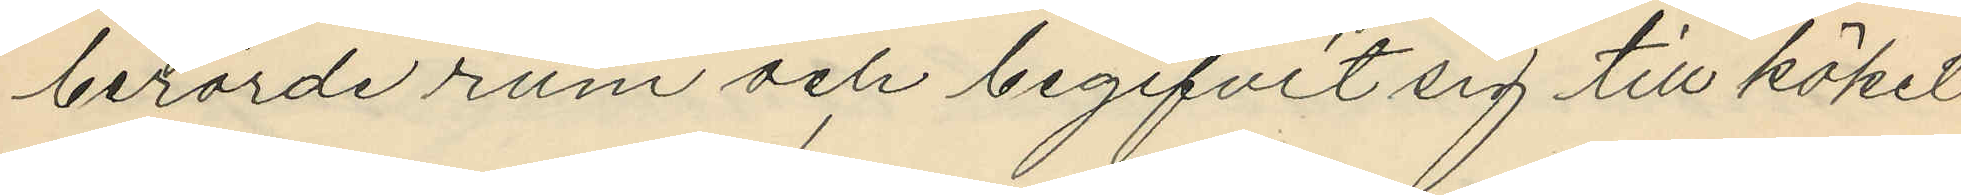berörde rum och begifvit sig till köket
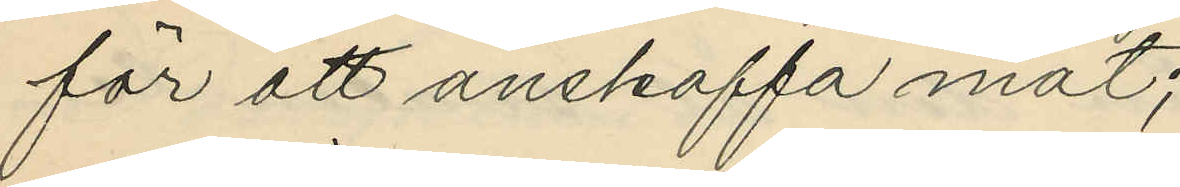för att anskaffa mat;
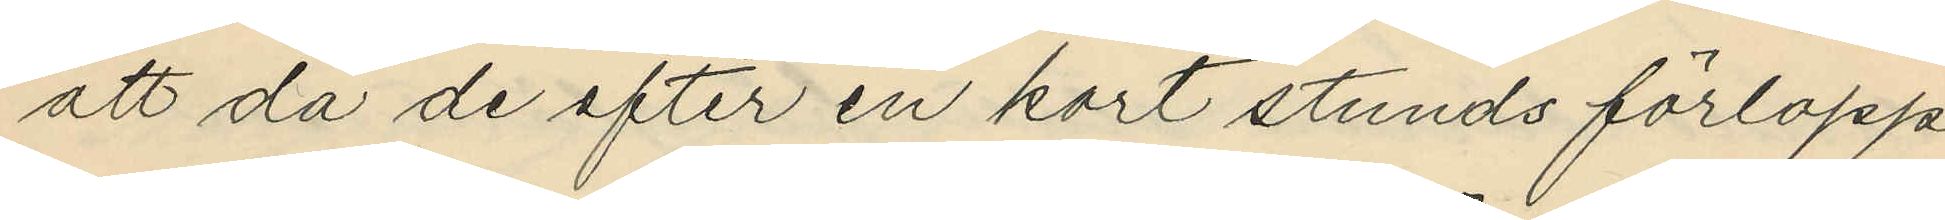att då de efter en kort stunds förlopp
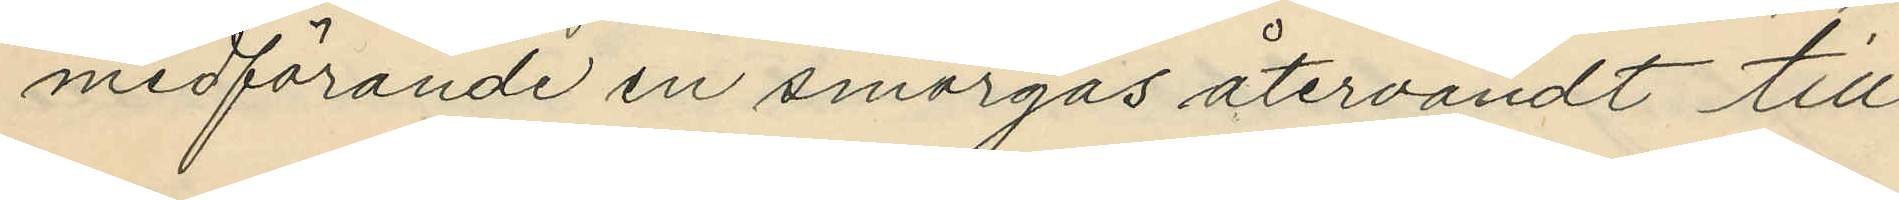medförande en smörgås återvändt till
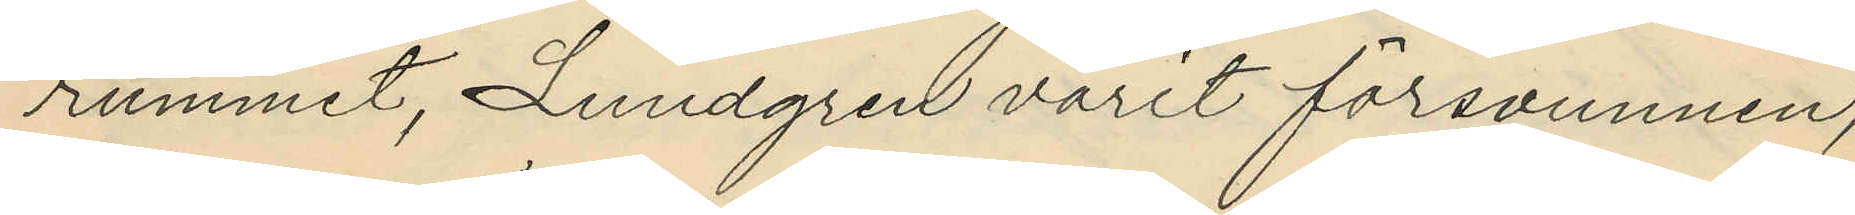rummet, Lundgren varit försvunnen;
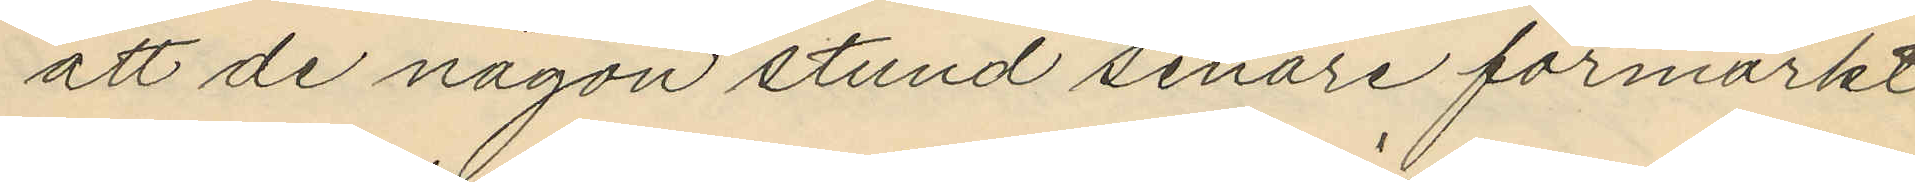att de någon stund senare förmärkt
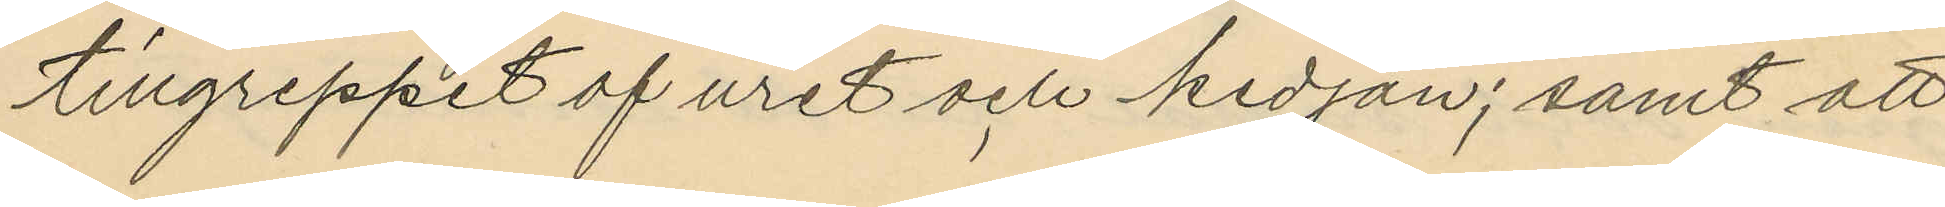tillgreppet af uret och kedjan; samt att
